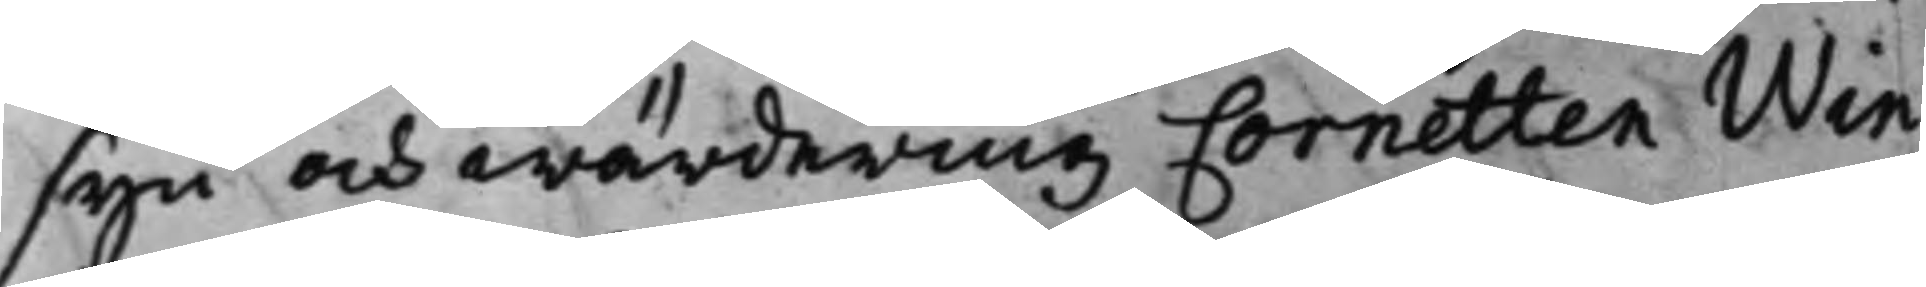syn och wärdering Cornetten Win¬
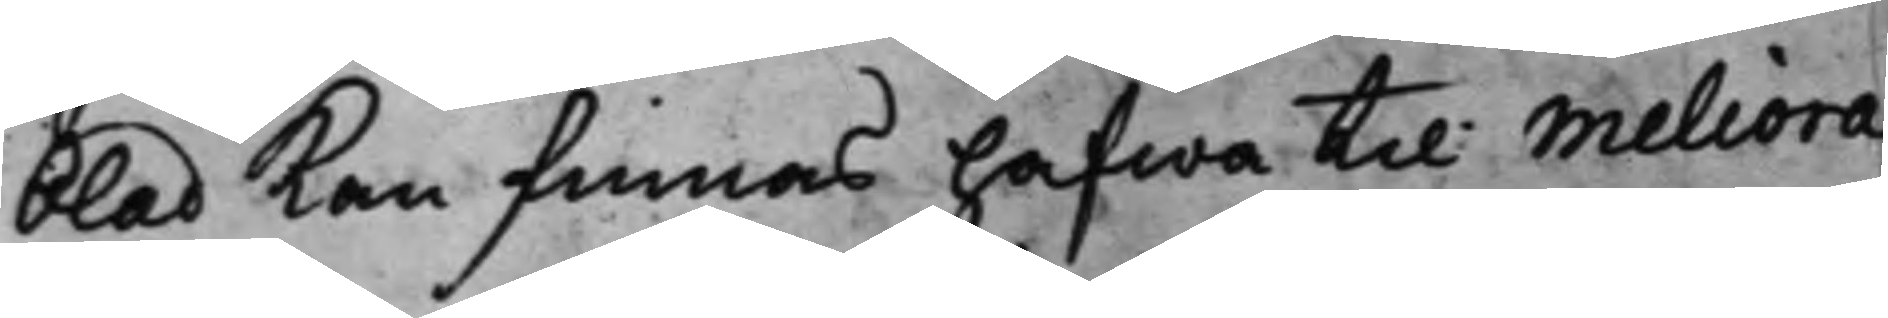blad Kan finnas hafwa till meliora¬
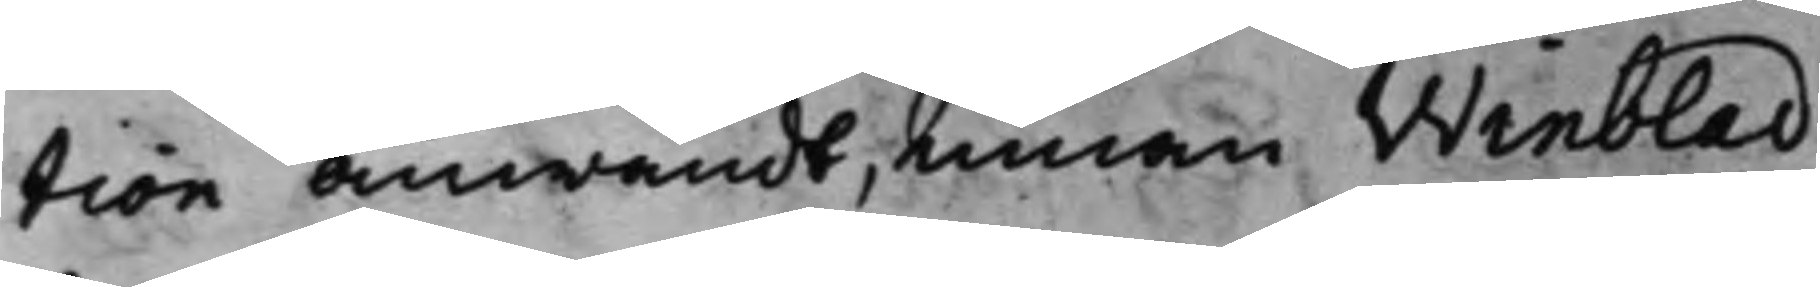tion anwändt, innan Winblad
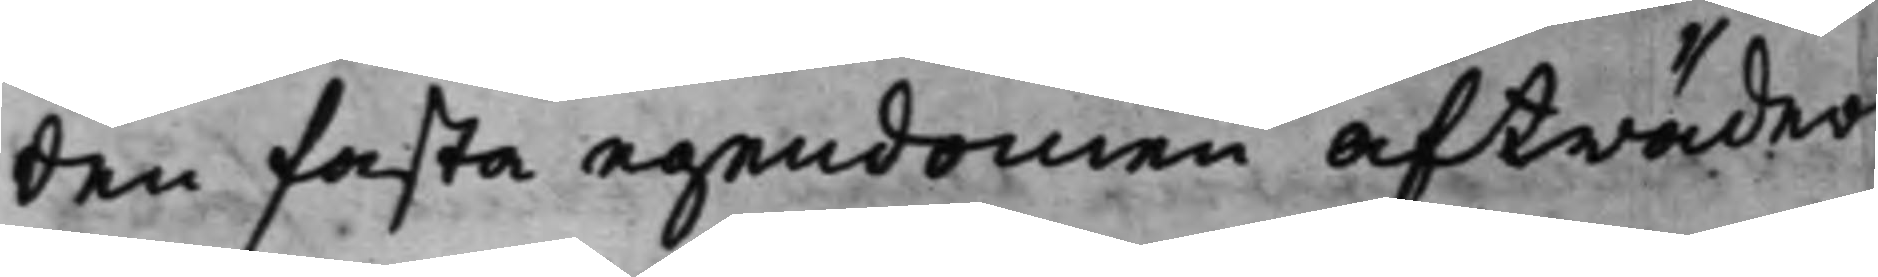den fasta egendomen afträder
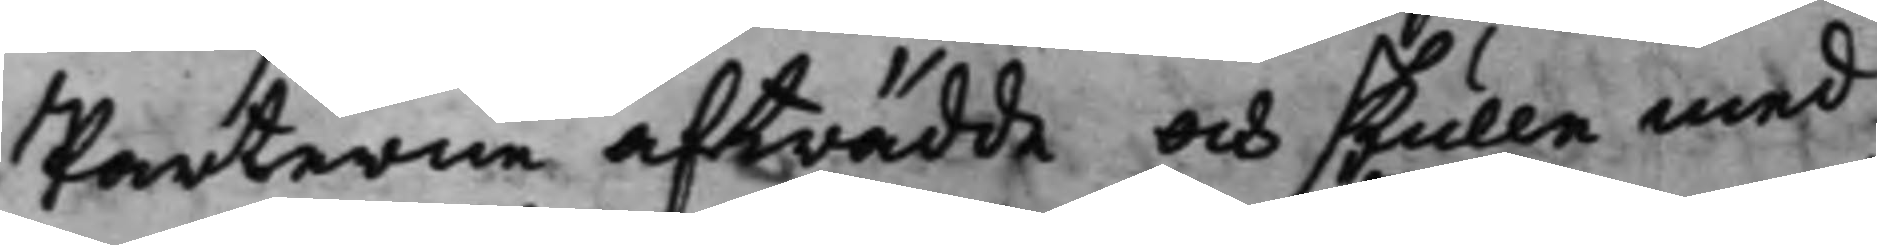Parterne afträdde och skulle med
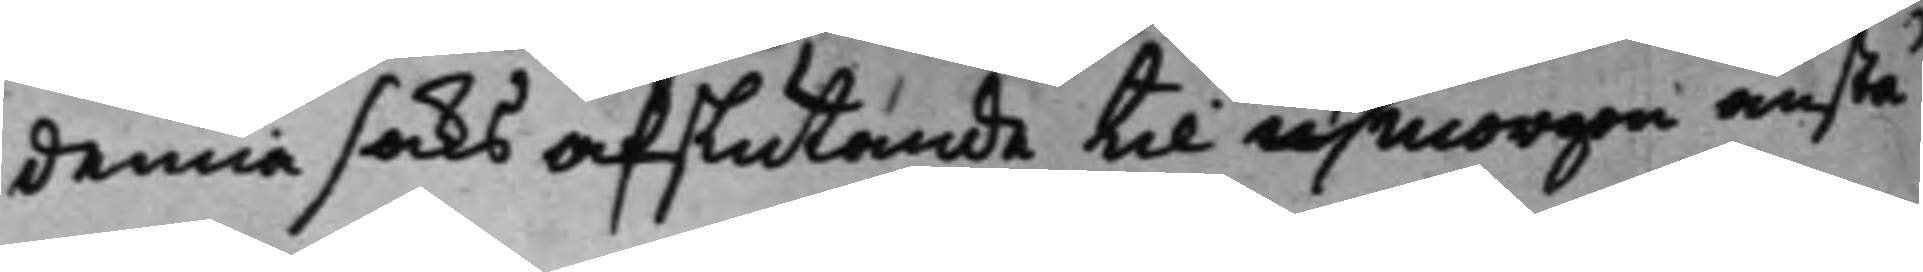denna saks afslutande til i morgon anstå
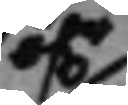öf.r
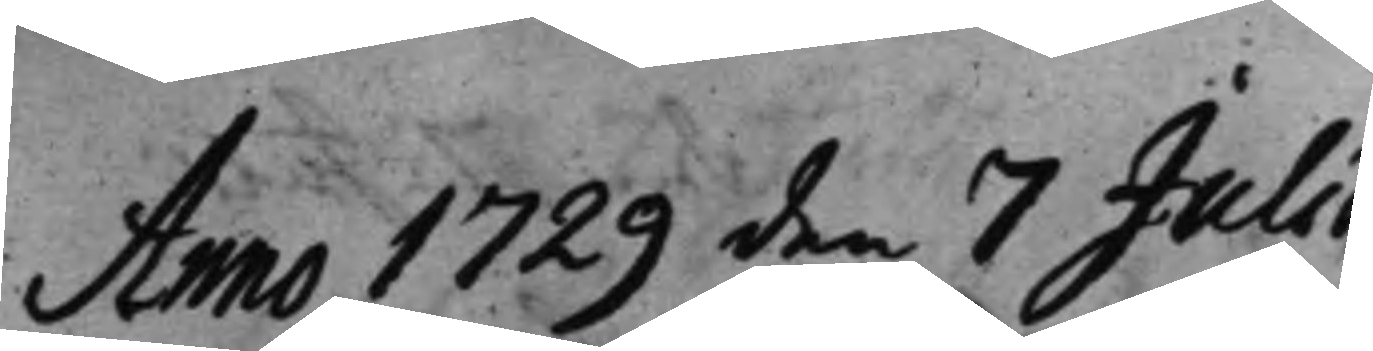Anno 1729 den 7 Julii.
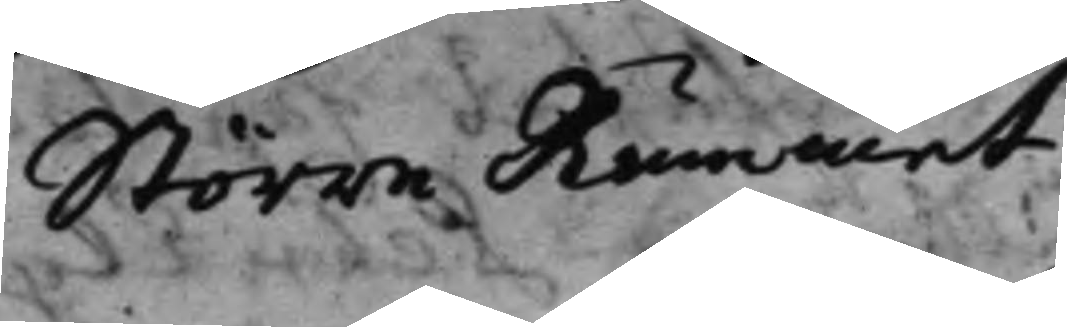Större Rummet.
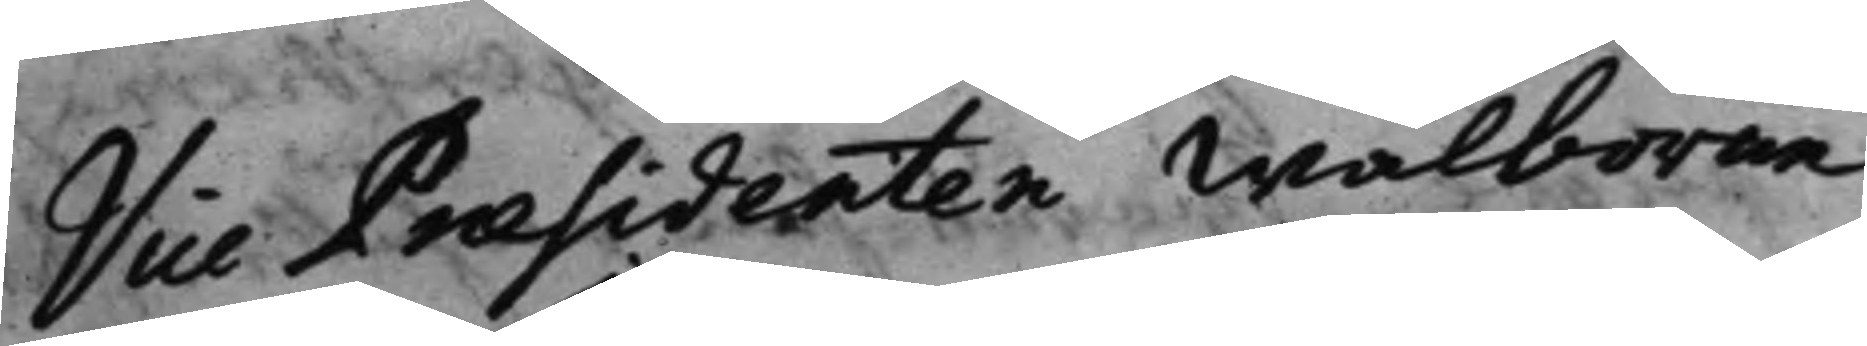Vice Presidenten Wälborne
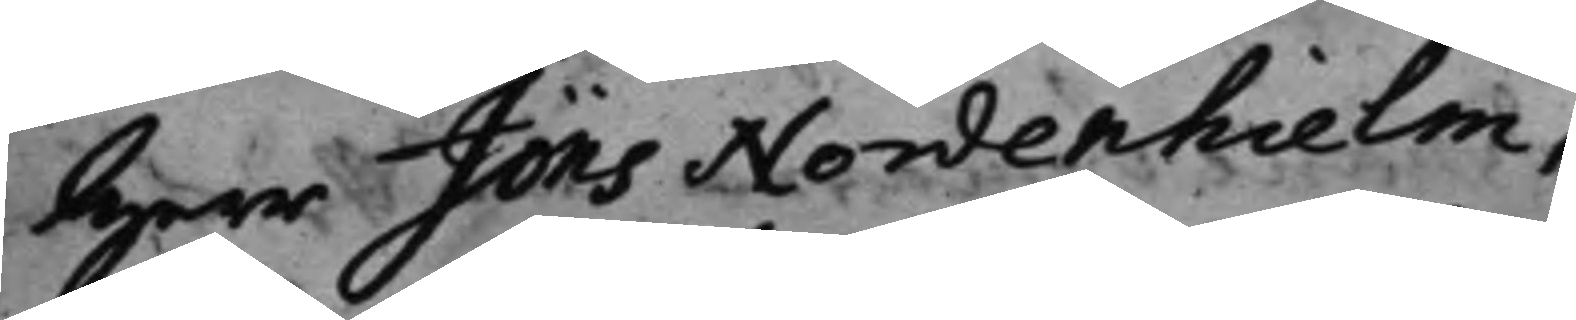Herr Jöns Nordenhielm,
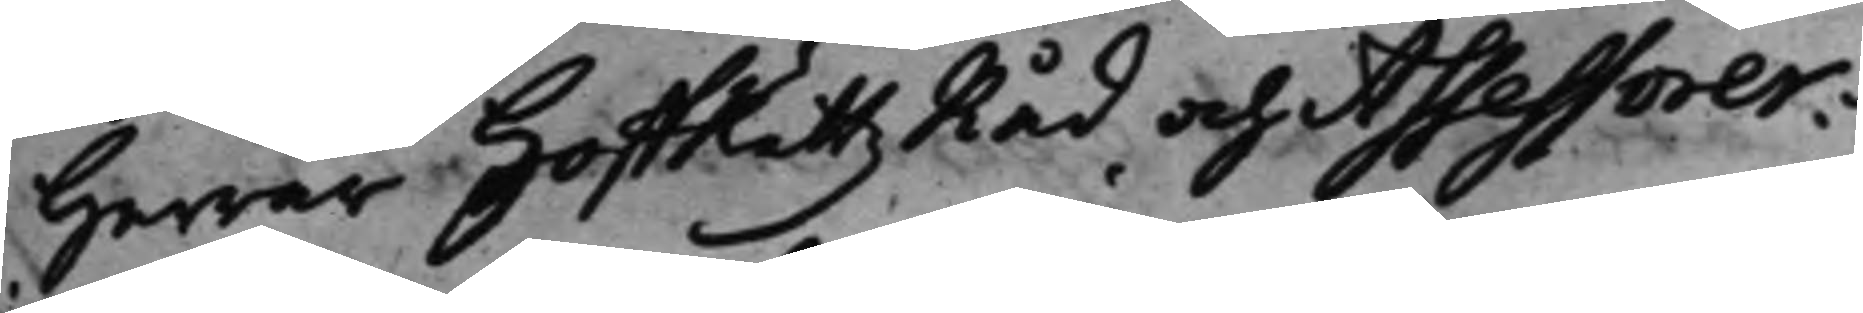Herrar HoffRättz Råd och Assessorer:
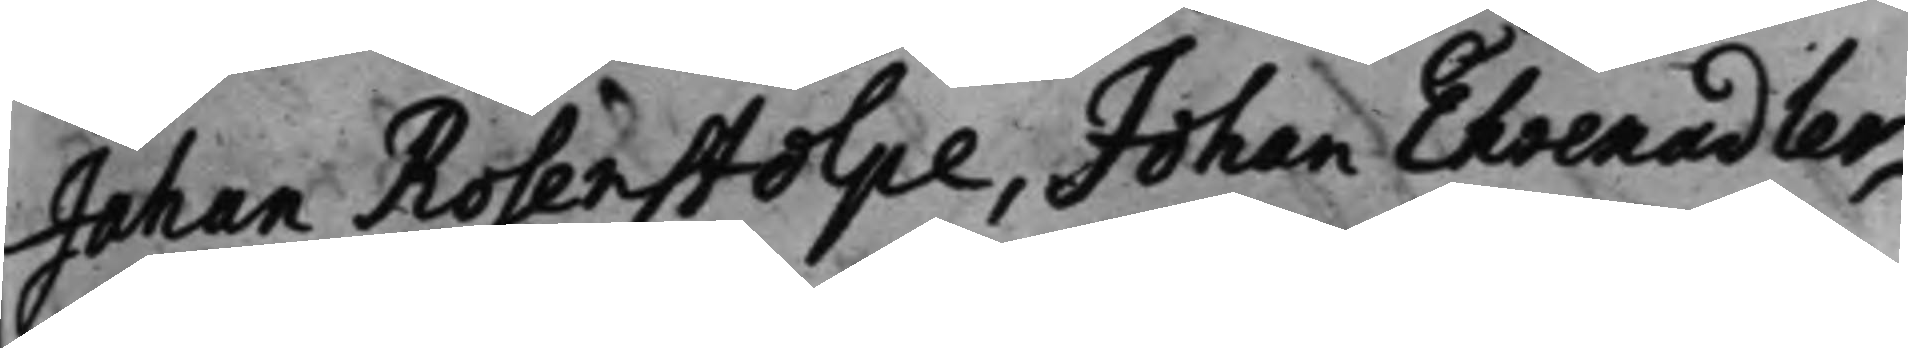Johan Rosenstolpe, Johan Ehrenadler,
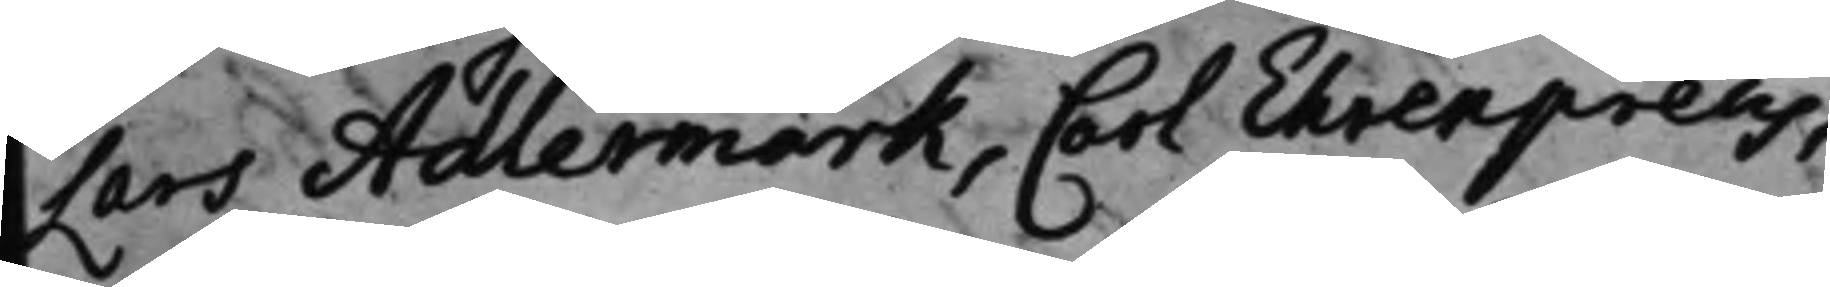Lars Adlermark, Carl Ehrenpreus,
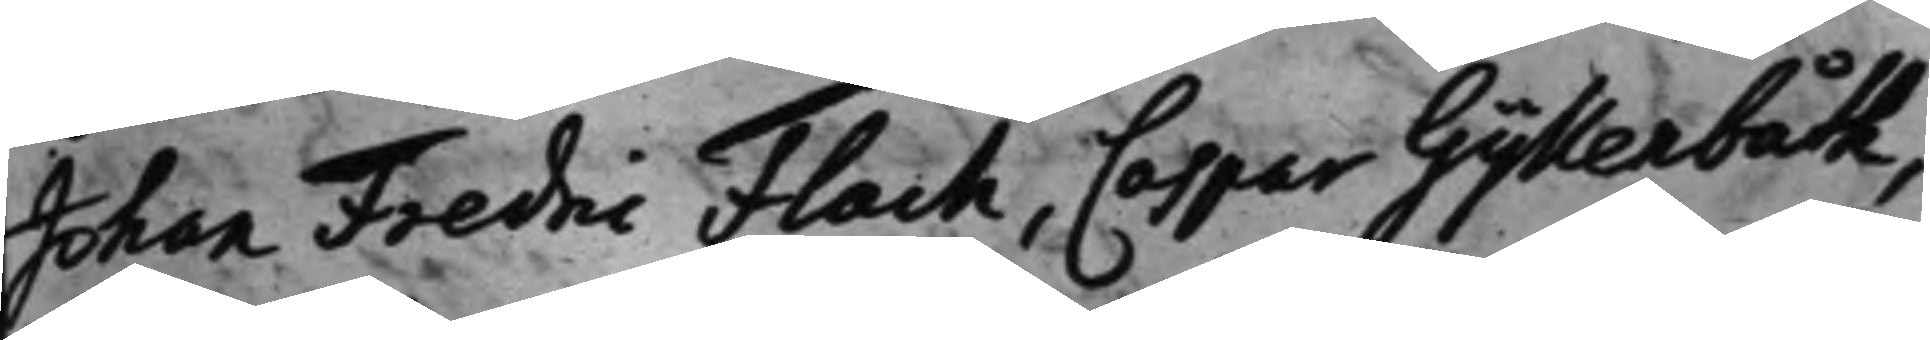Johan Fredric Flach, Caspar Gyllenbåth,
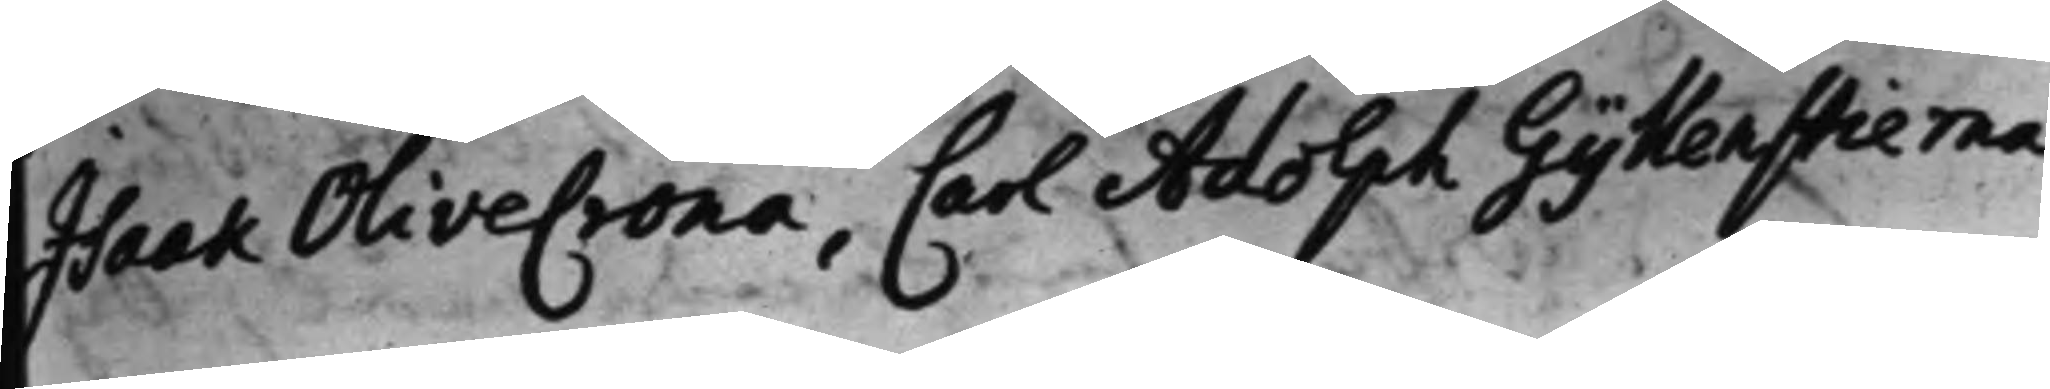Isaak OliveCrona, Carl Adolph Gyllenstierna.
